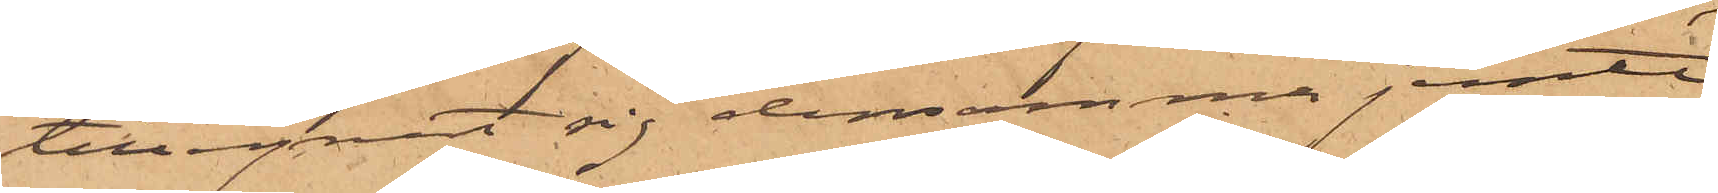tillegnat sig densamma jemte
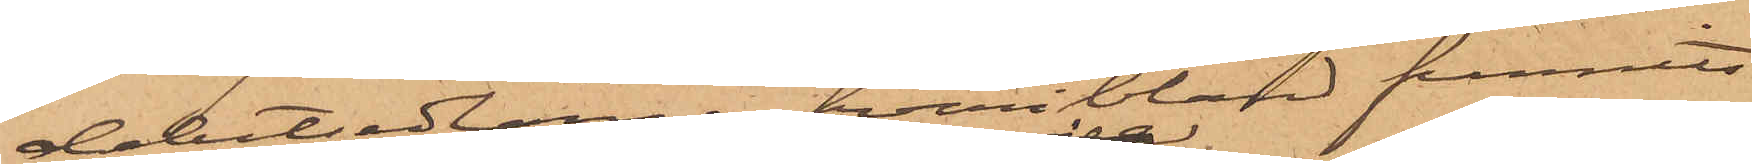debetsedlarne, hvari bland funnits
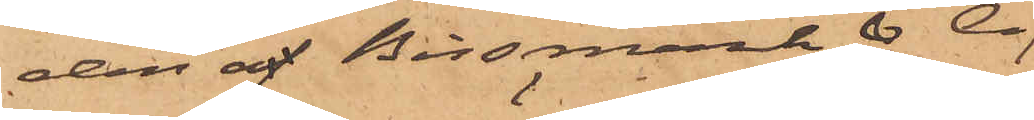den å Bissmark & Co
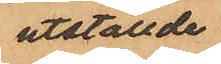utställde
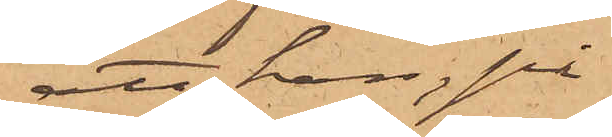att han, på
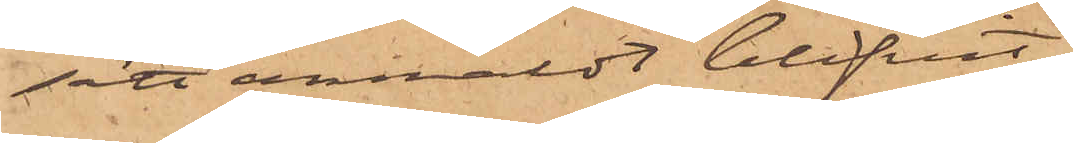sätt anmäldt blifvit,
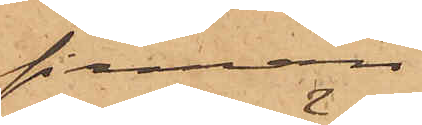firman
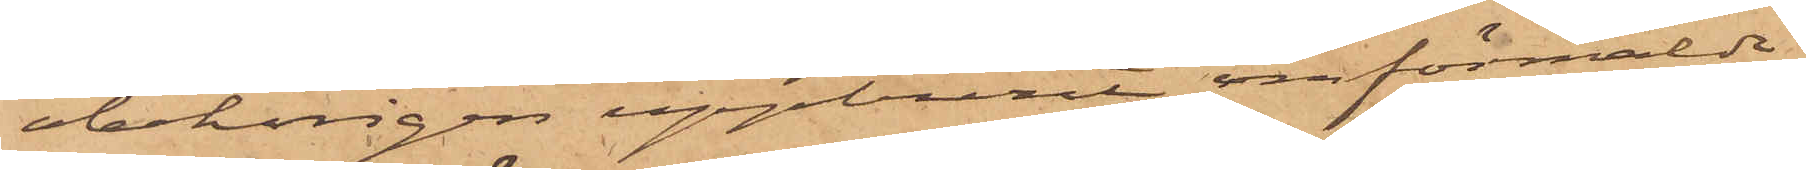obehörigen uppburit omförmälde
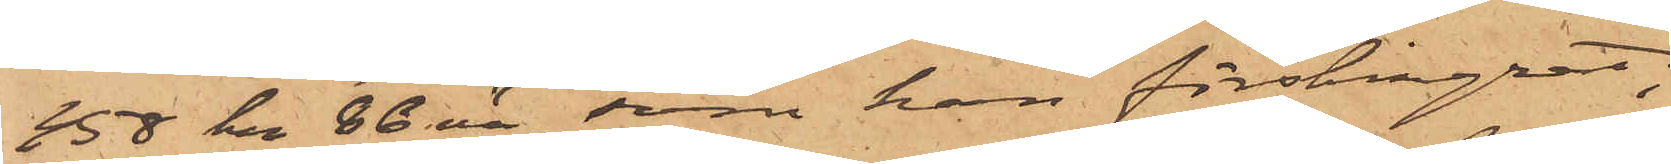458 kr 86 öre, som han förskingrat;
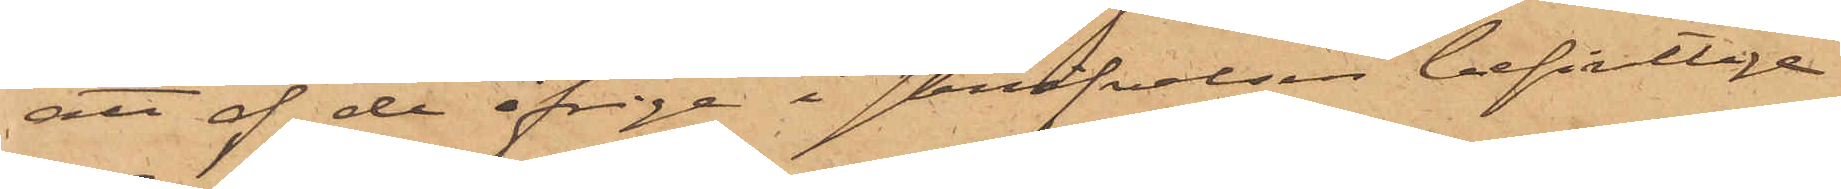att af de öfriga i skrifvelsen befintlige
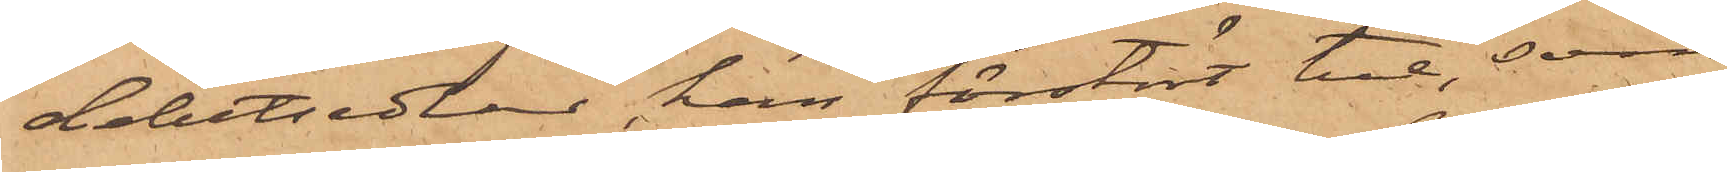debetsedlar, han förstört tre, som
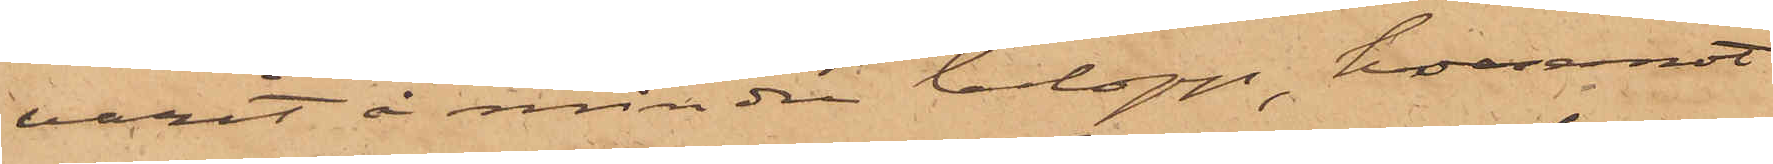varit å mindre belopp, hvaremot
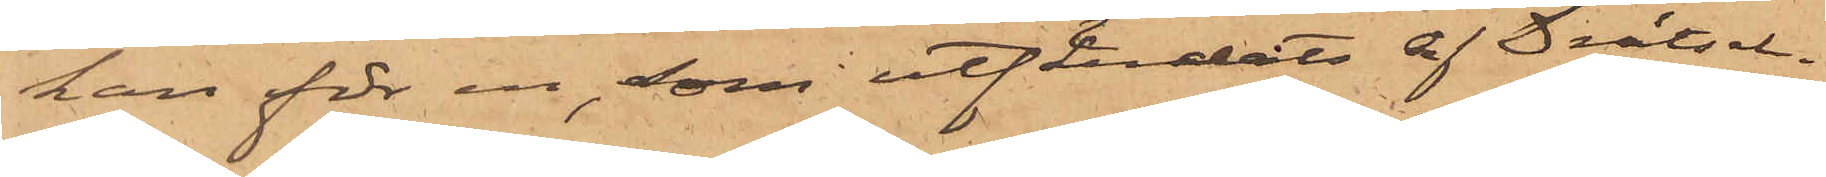han för en, som utfärdats af Drätsel¬
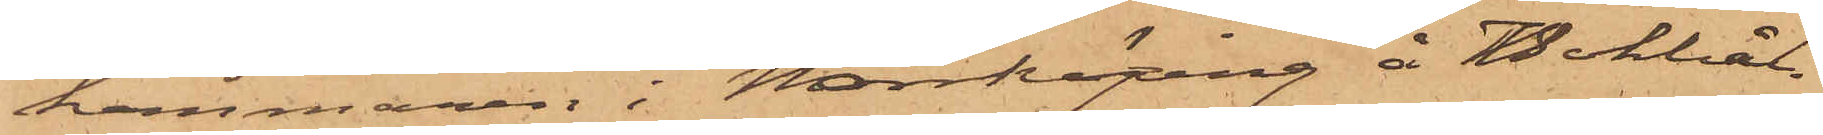kammaren i Norrköping å Bokhål¬
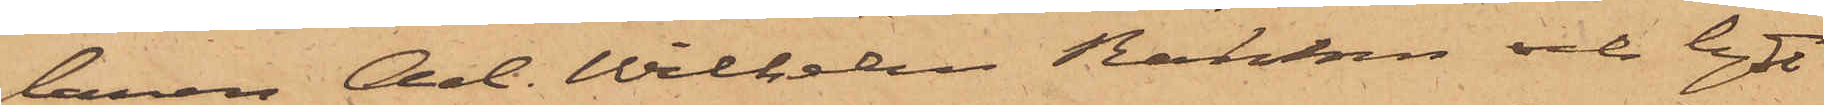laren Carl Wilhelm Hedman och lytt
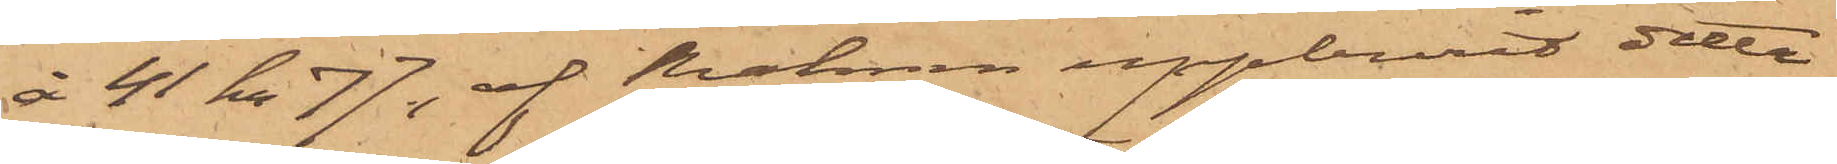å 41 Kr. 77, af Hedman uppburit detta
